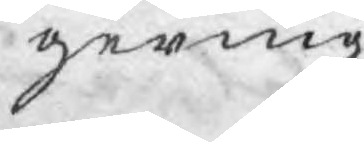gering.
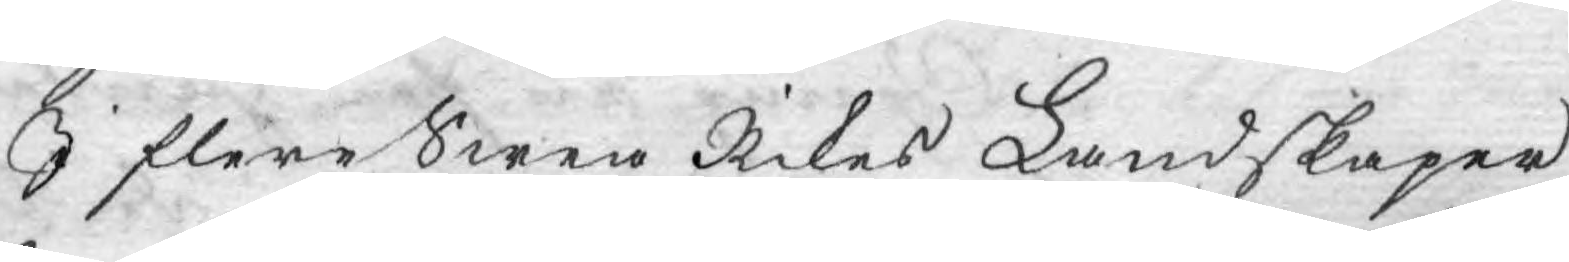I flere Swea Rikes Landskaper
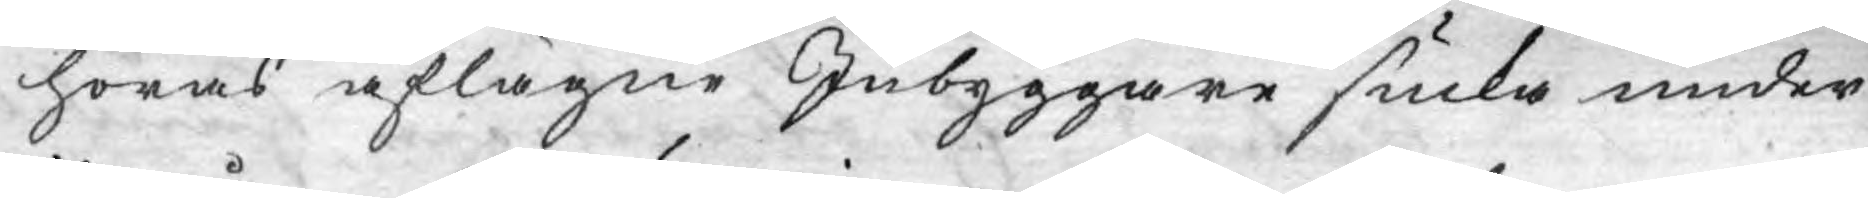höras aflägne Inbyggare sukta under
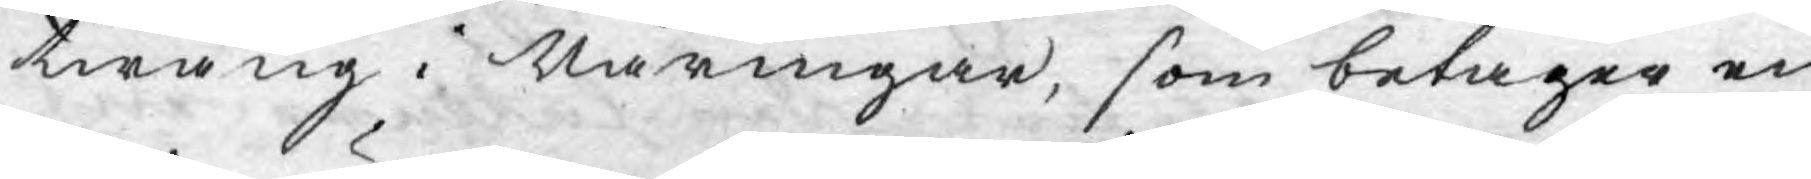twång i Näringar, som betager en
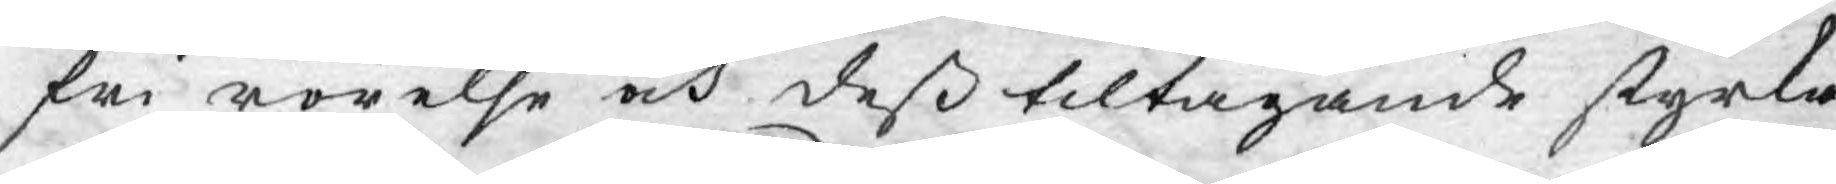fri rörelse och deß tiltagande styrka
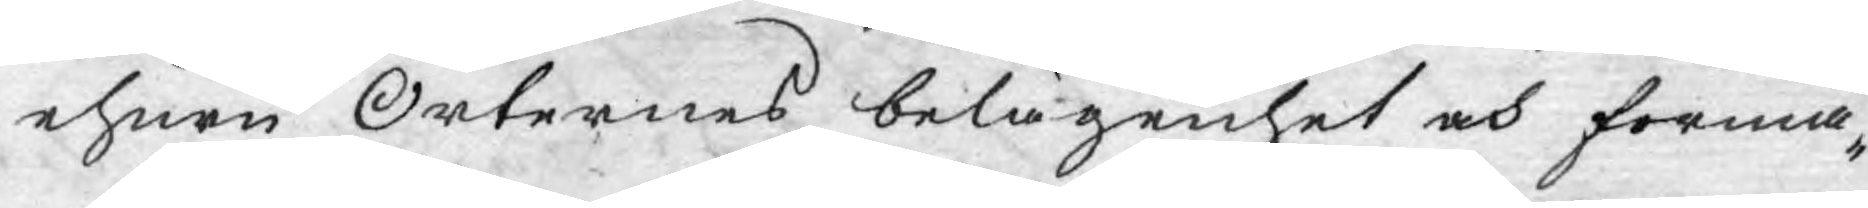ehuru Orternes belägenhet och förmå¬
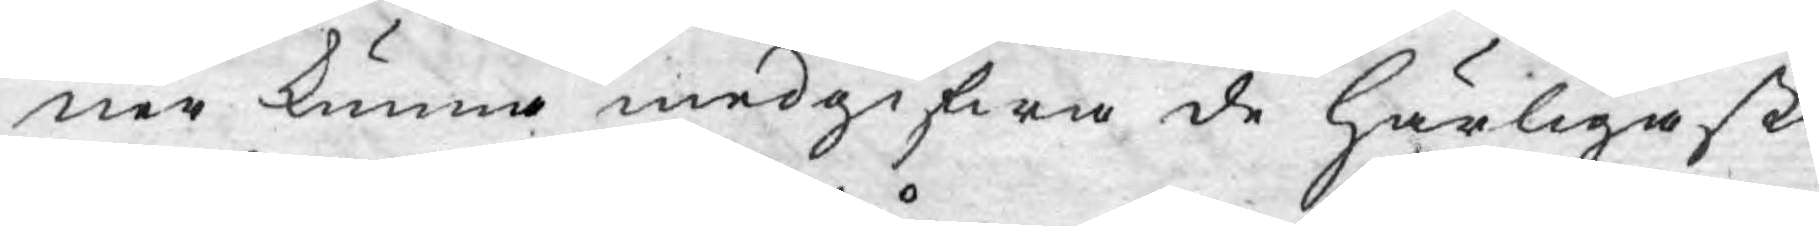ner kunna medgifwa de härligaste
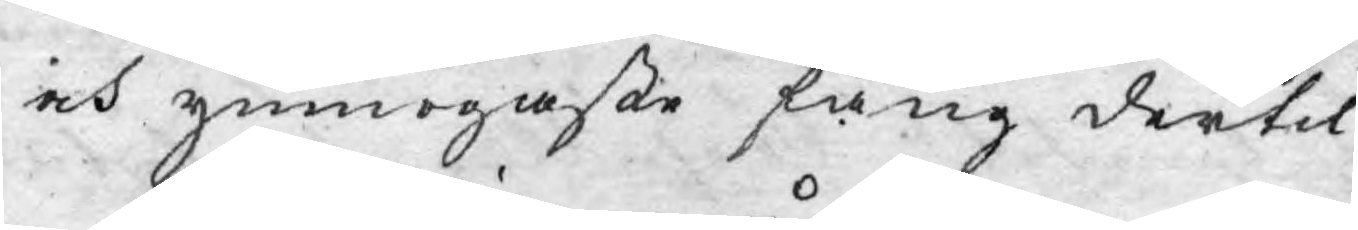och ymnogaste fång dertil.
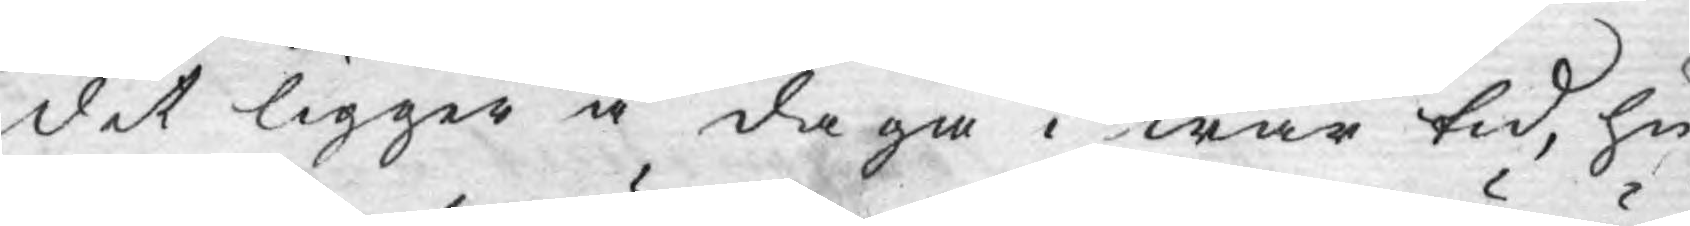det ligger å daga i wår tid, hu¬
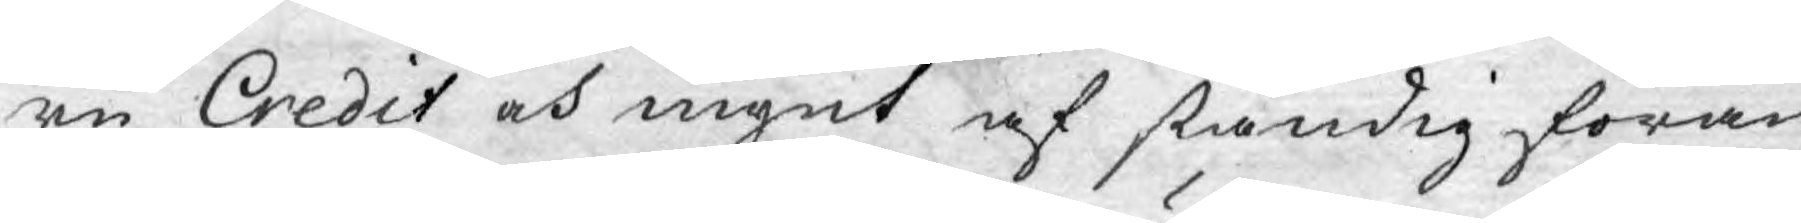ru Credit och mynt af ständig förän¬
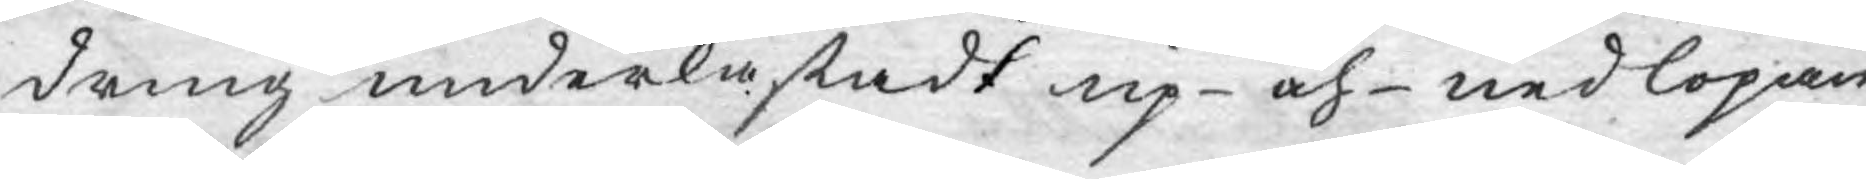dring underkastadt up- och- nedlöpan¬
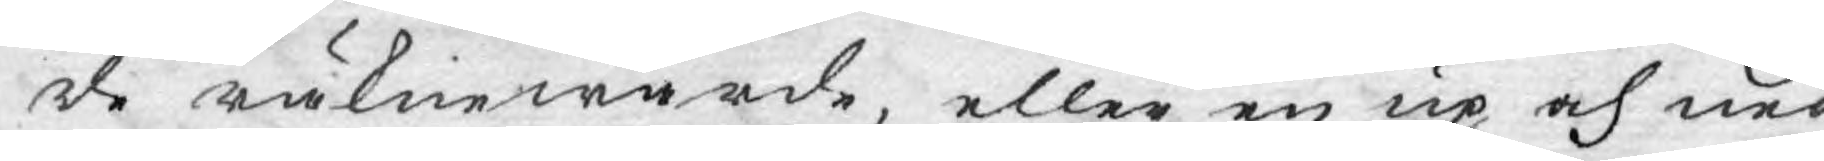de räknewärde, eller en up och ned¬
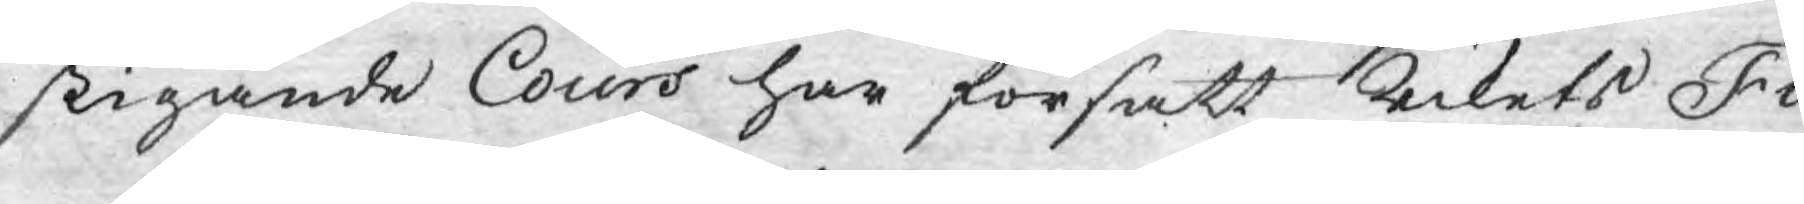stigande Cours har försatt Rikets Fi¬
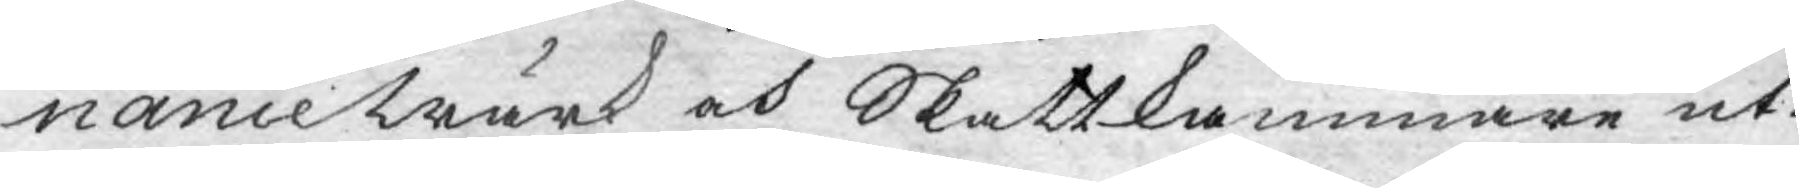nancewärk och Skattkammare uti
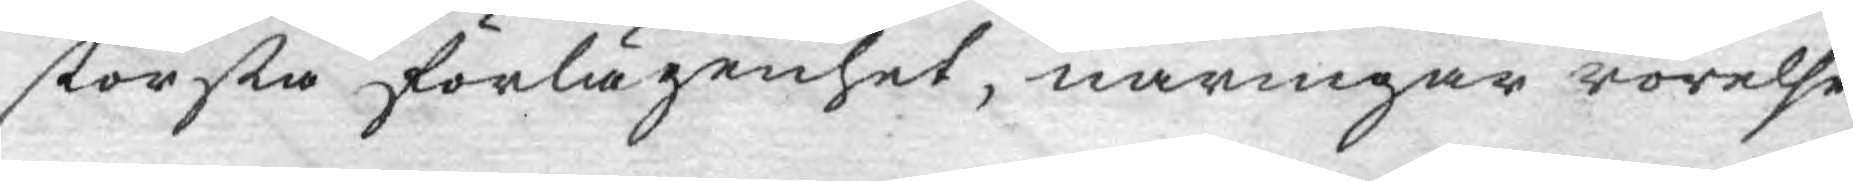största förlägenhet, näringar rörelse
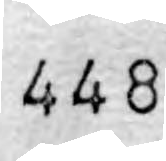448
